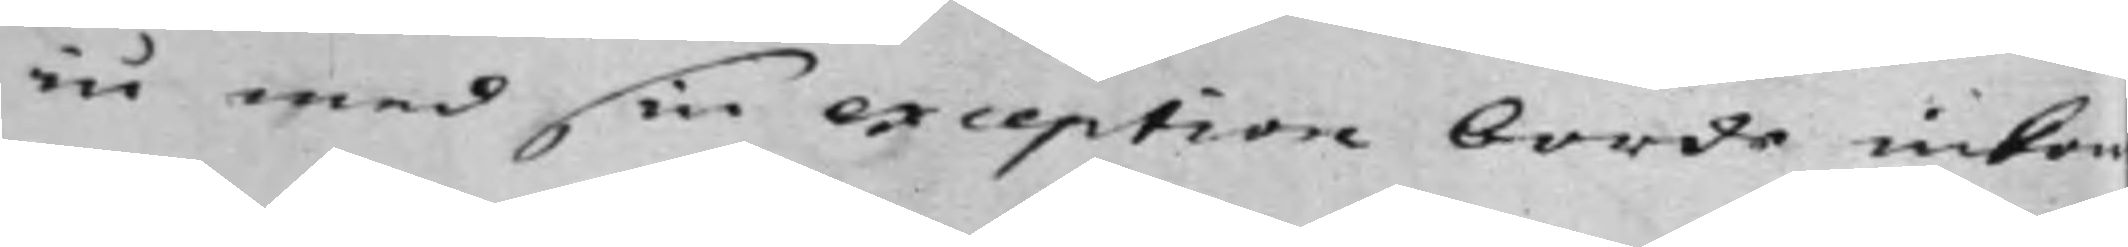iu med sin exception borde inko¬
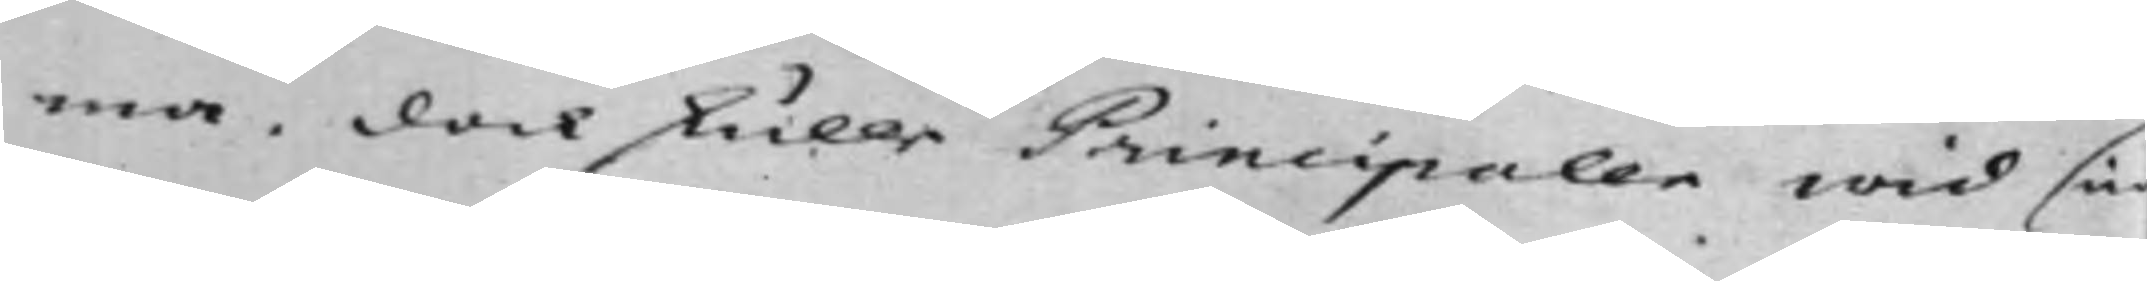ma. dock skulle Principalen wid sin
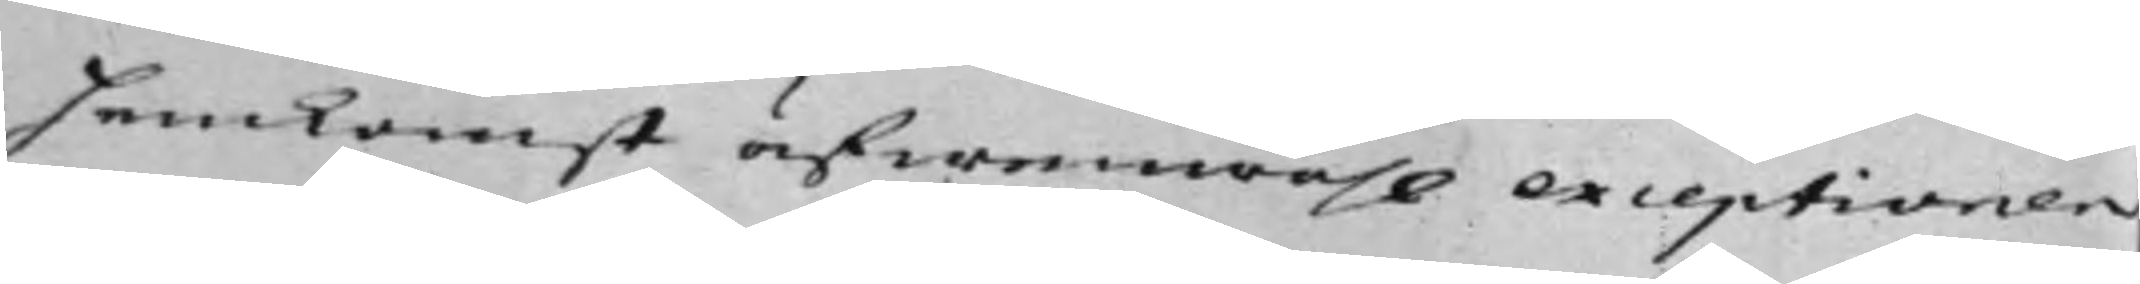Hemkomst äfwenwähl exceptionen
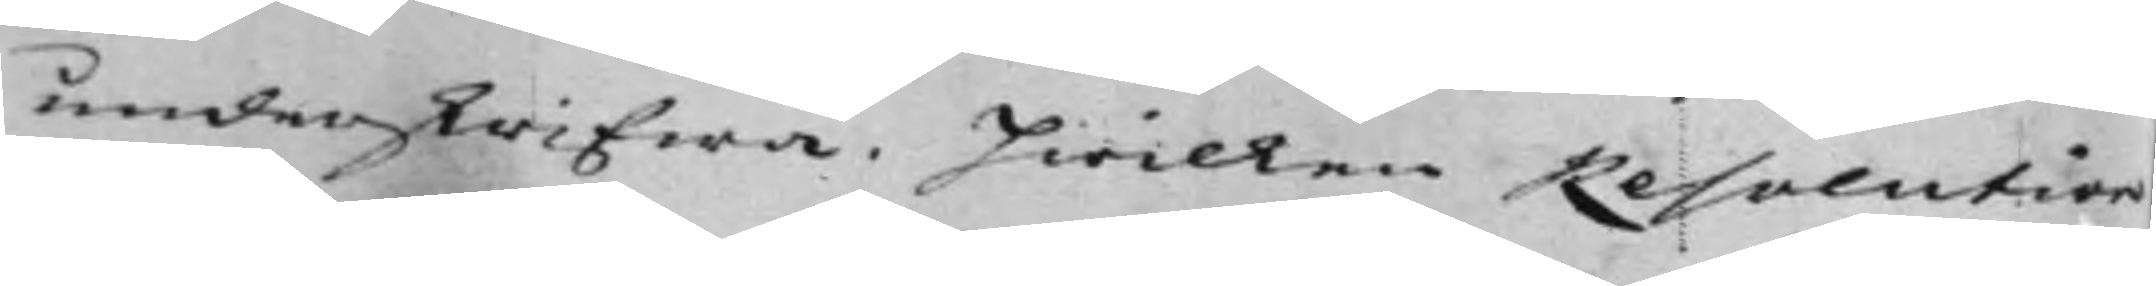underskrifwa. Hwilken Resolution
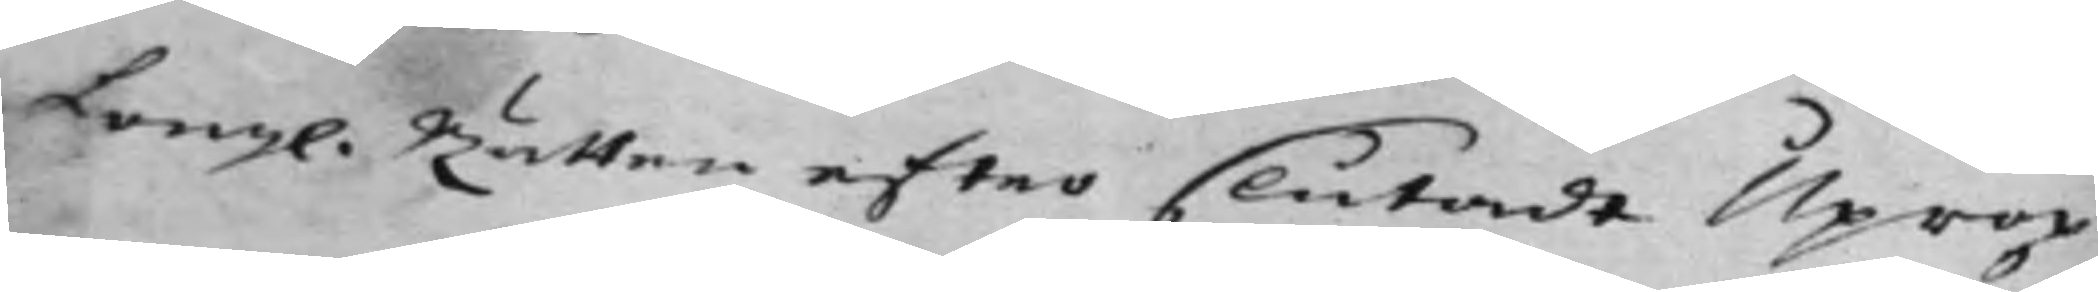Kongl. Rätten efter slutadt Uprop
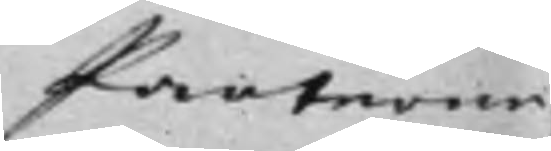Parterne
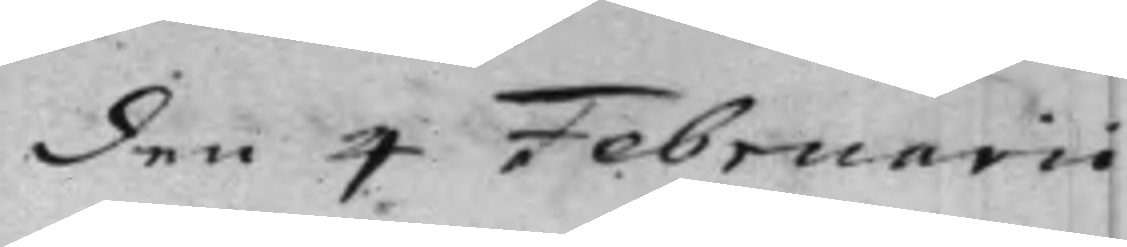den 4 Februarii
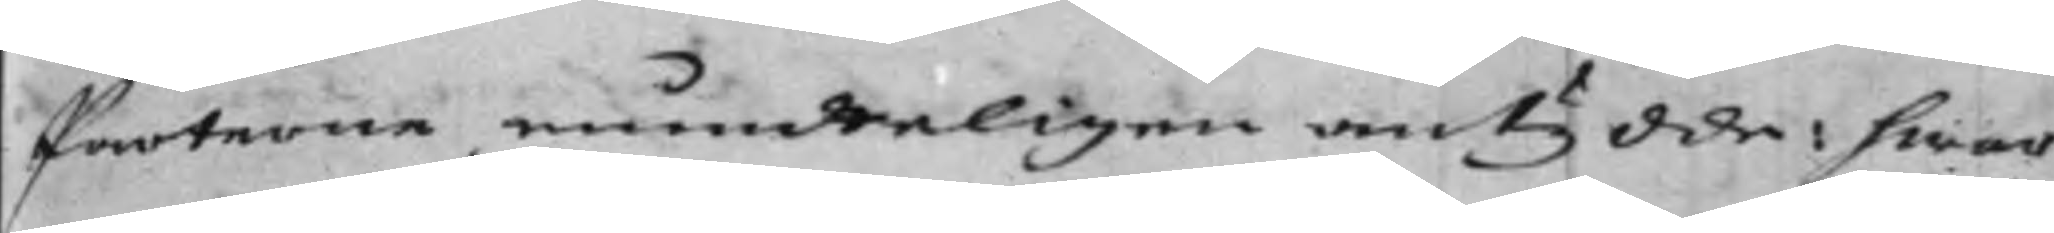Parterne mundteligen antydde: hwar
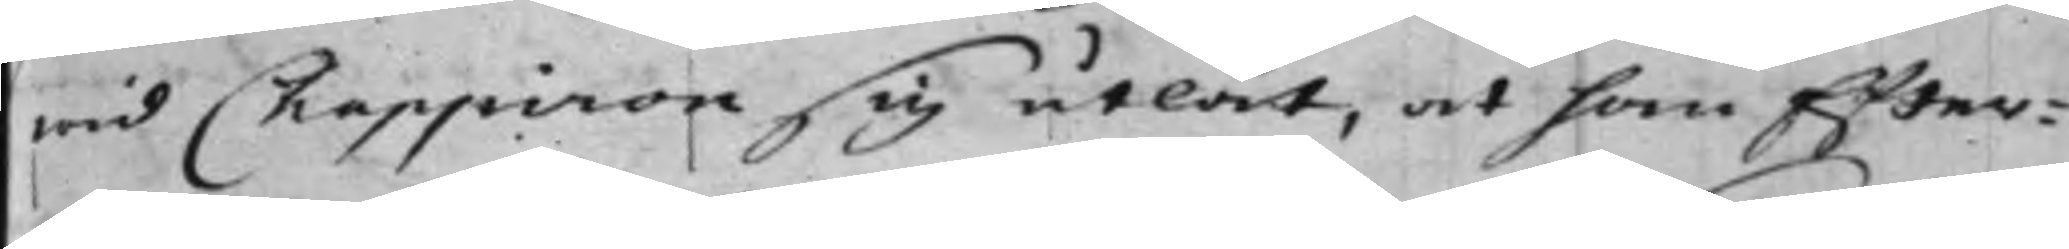wid Chappiron sig utlät, at han Efter¬
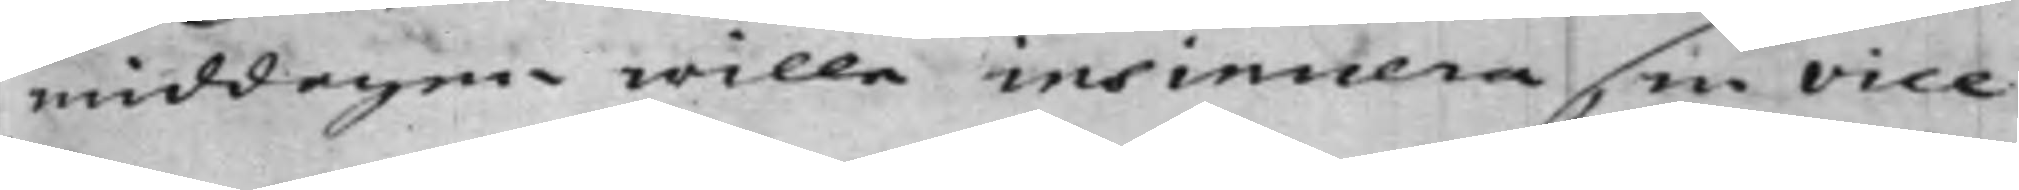middagen wille insinuera sin vice
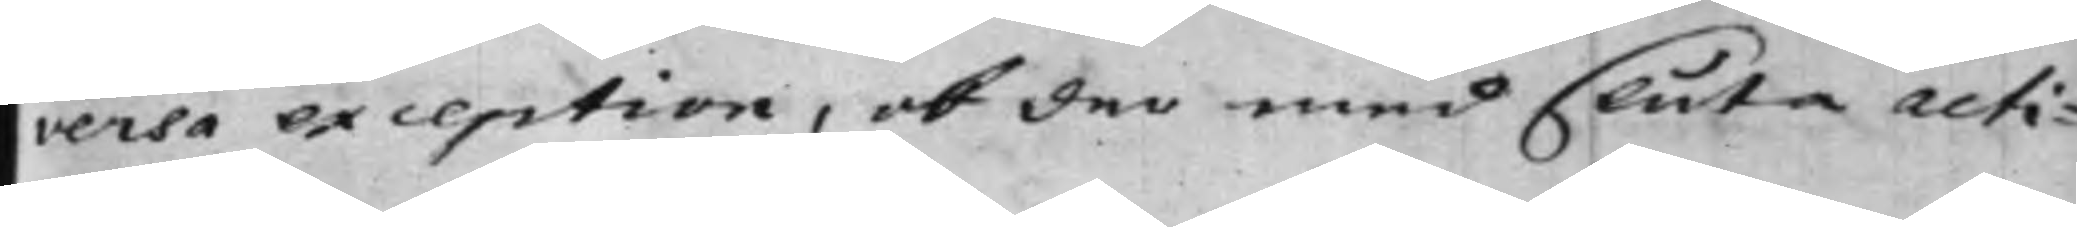versa exception, ok der med sluta acti¬
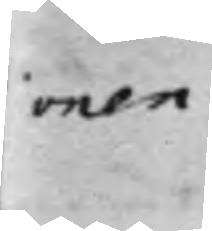onen.
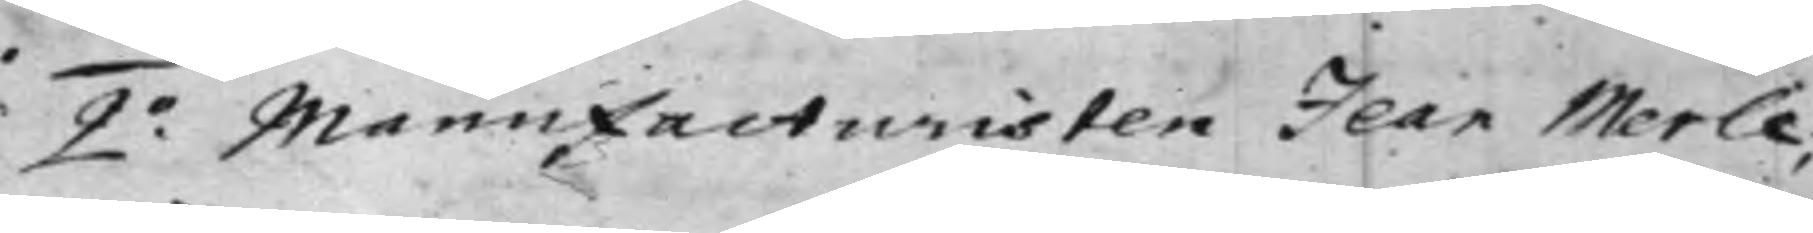2.o Manufacturisten Jean Merle,
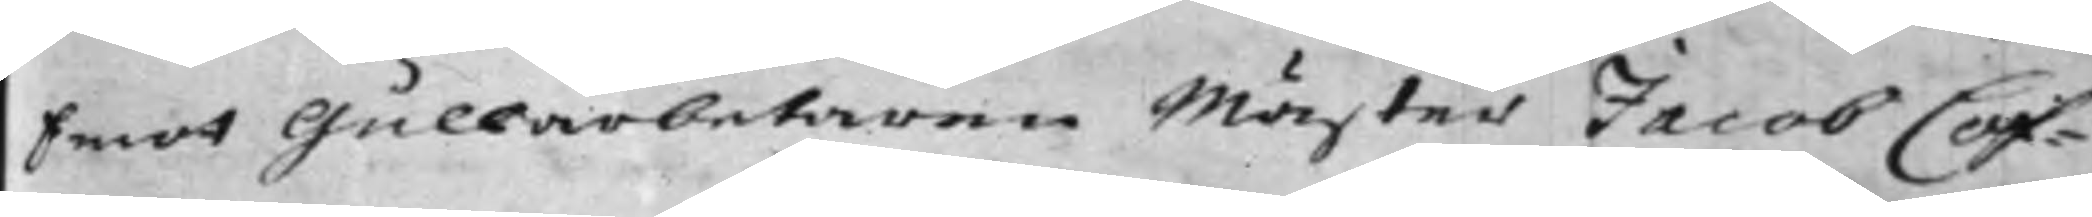Emot Gullarbetaren Mäster Jacob Cof¬
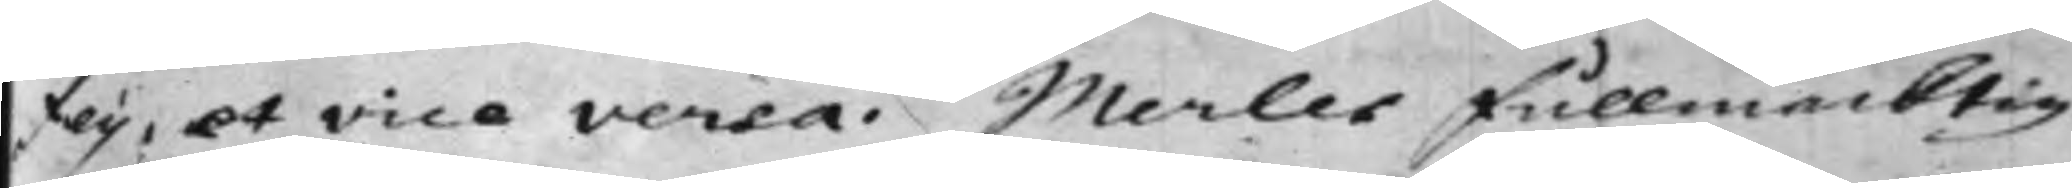fey, et vice versa. Merles Fullmäcktig
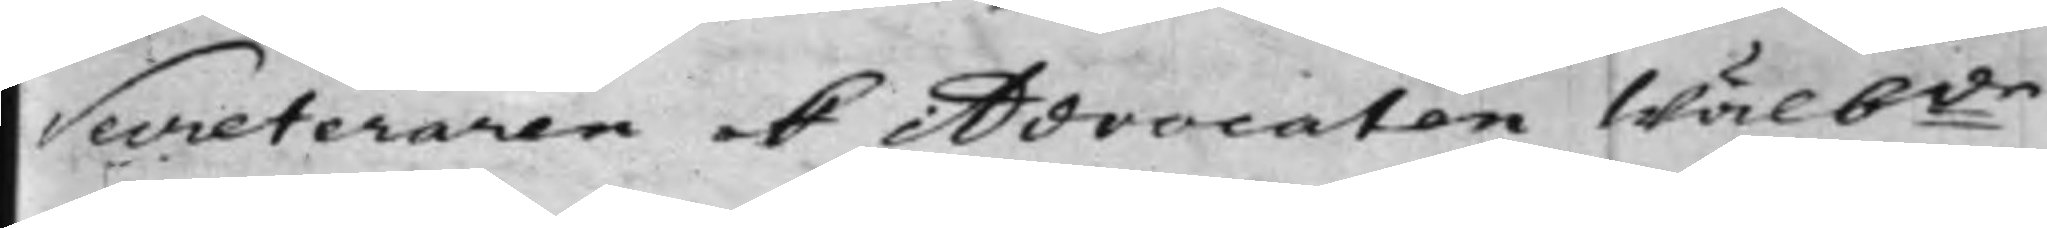Secreteraren ok Advocaten Wälb:de
